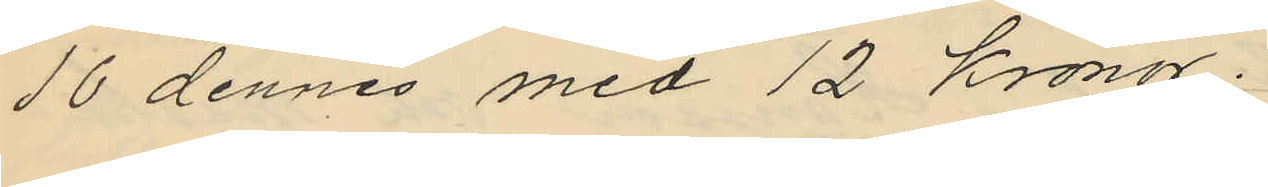16 dennes med 12 Kronor.
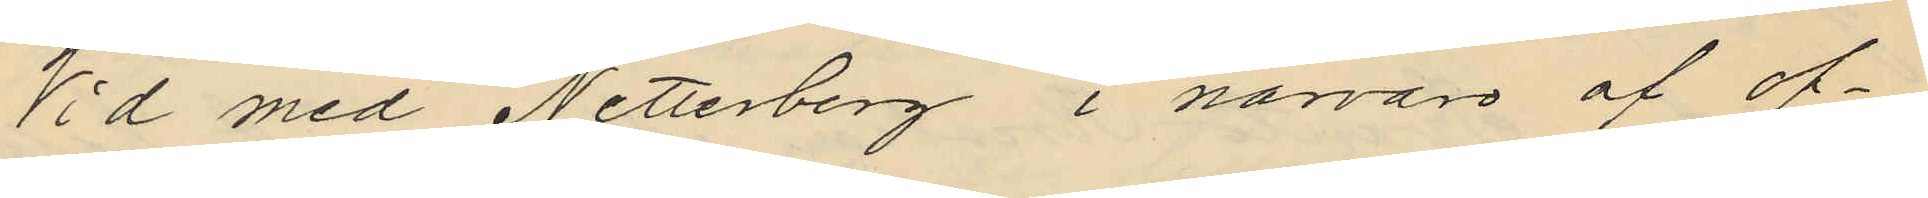Vid med Netterberg i närvaro af of¬
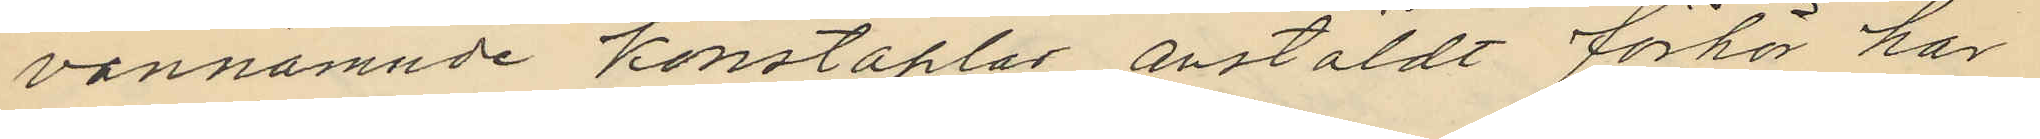vannämnde konstaplar anstäldt förhör har
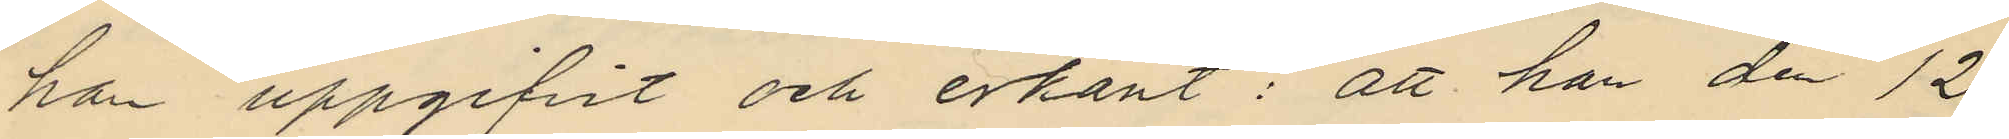han uppgifvit och erkänt: att han den 12
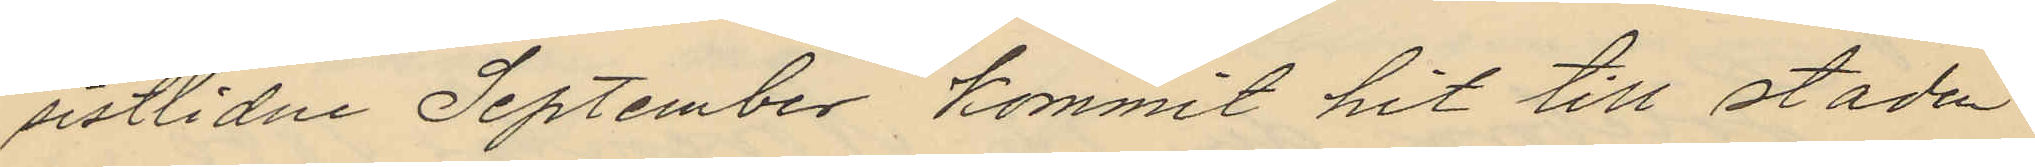sistlidne September kommit hit till staden
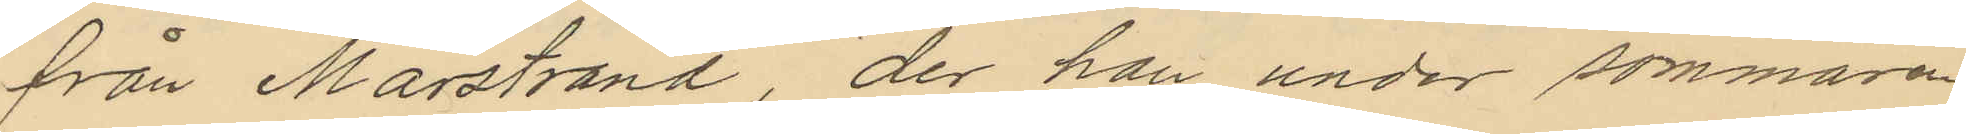från Marstrand, der han under sommaren
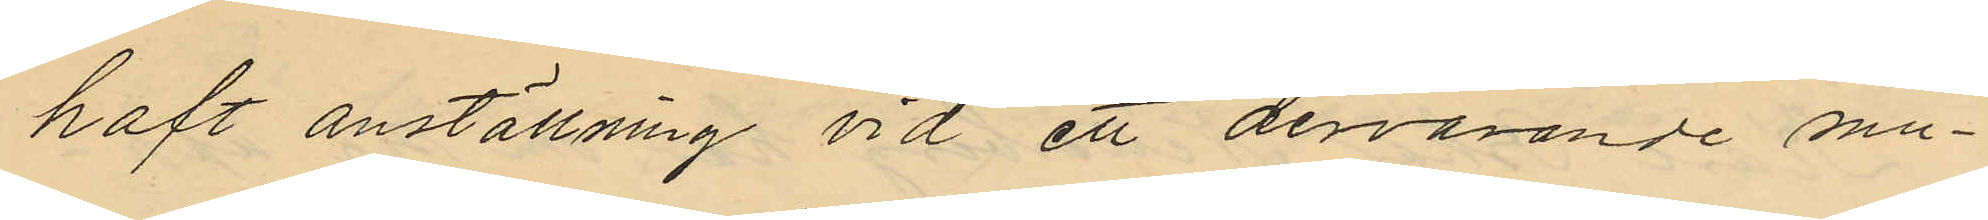haft anställning vid ett dervarande mu¬
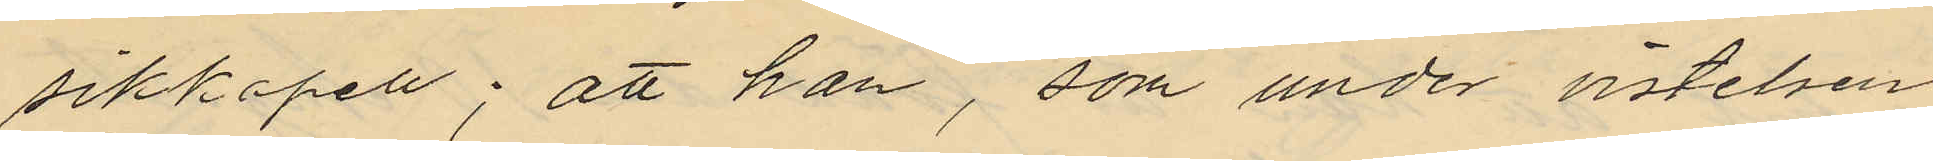sikkapell; att han, som under vistelsen
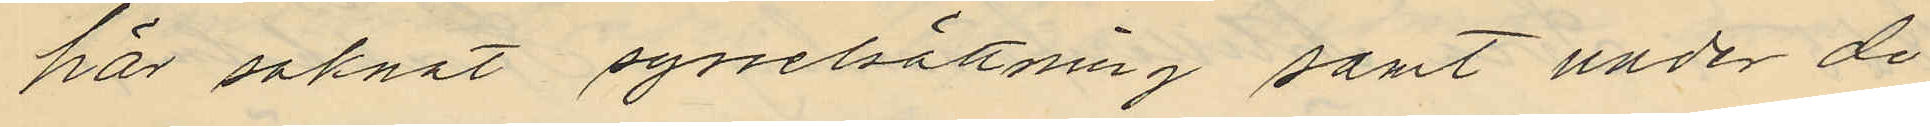här saknat syselsättning samt under de
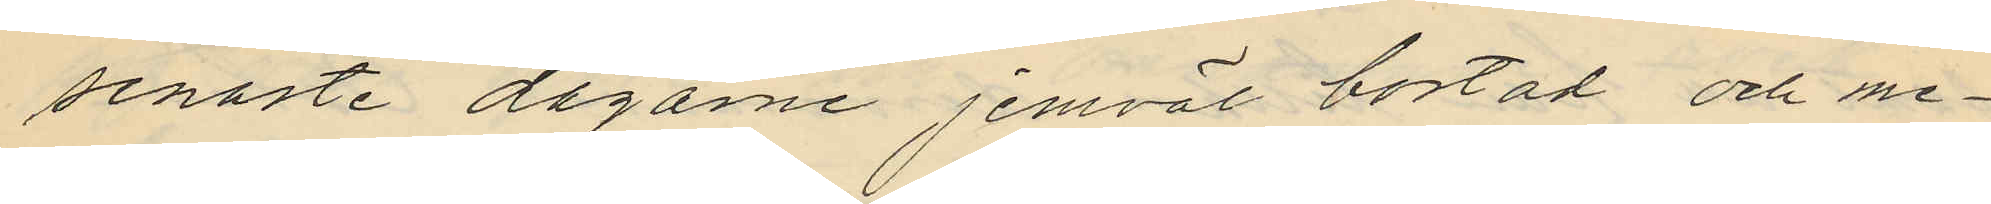senaste dagarne jemväl bostad och me¬
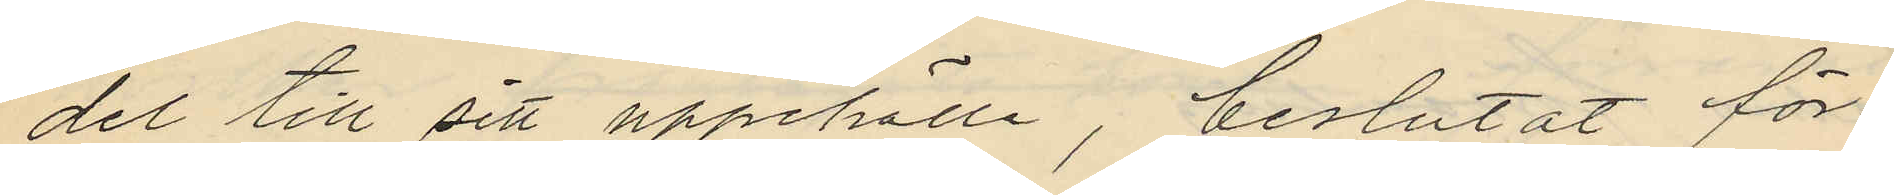del till sitt uppehälle, beslutat för¬
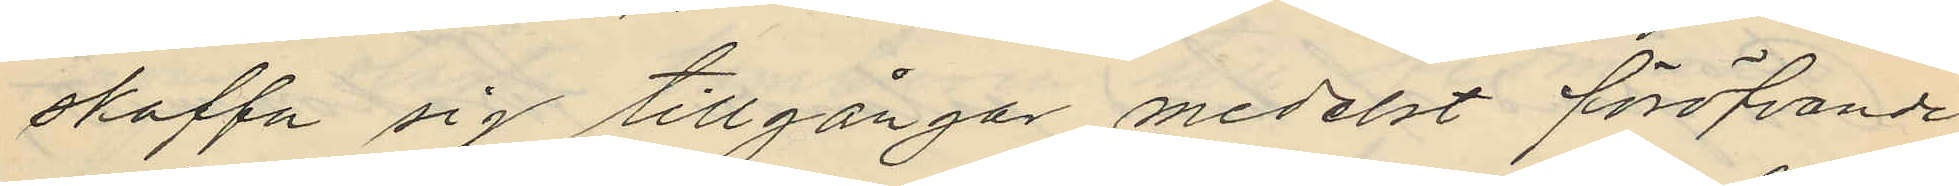skaffa sig tillgångar medelst föröfvande
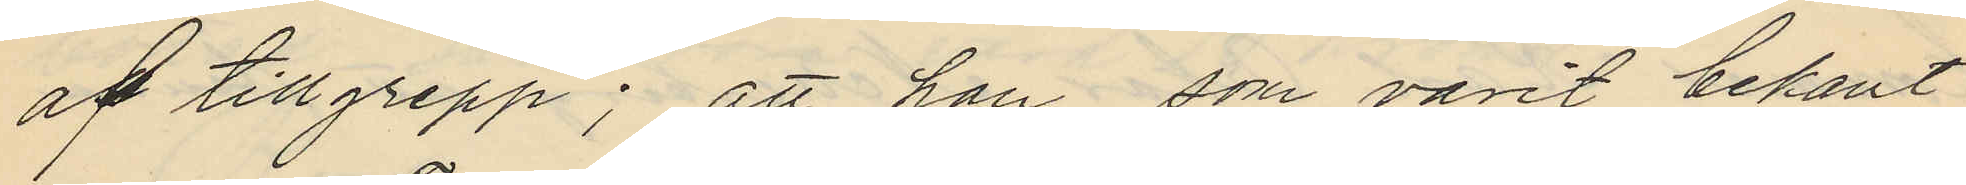af tillgrepp; att han som varit bekant
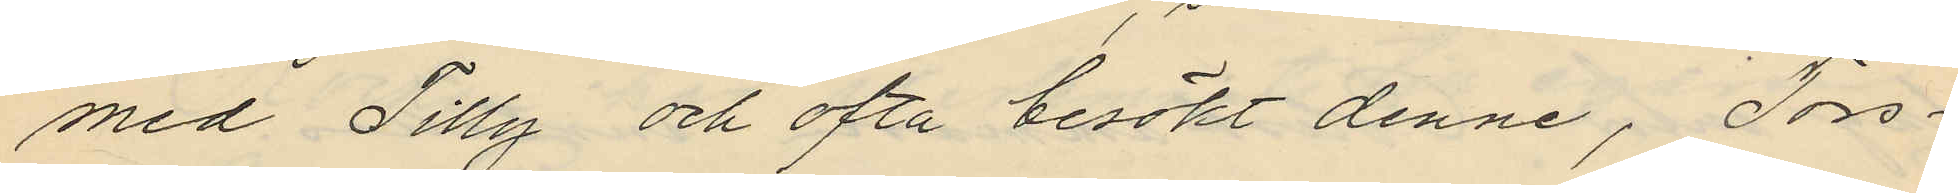med Tilly och ofta besökt denne, Tors¬
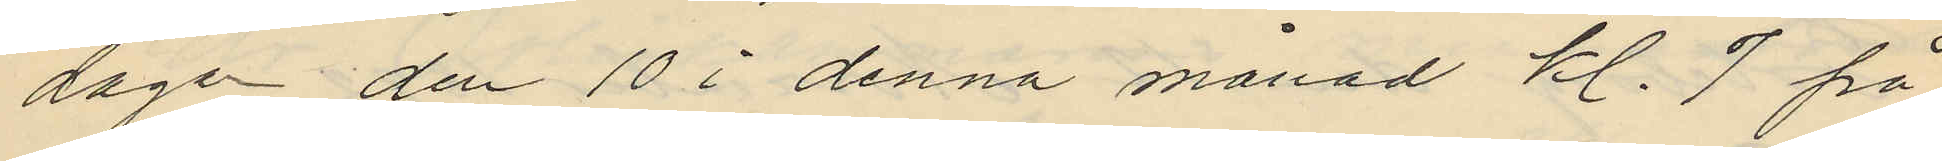dagen den 10 i denna månad kl. 7 på
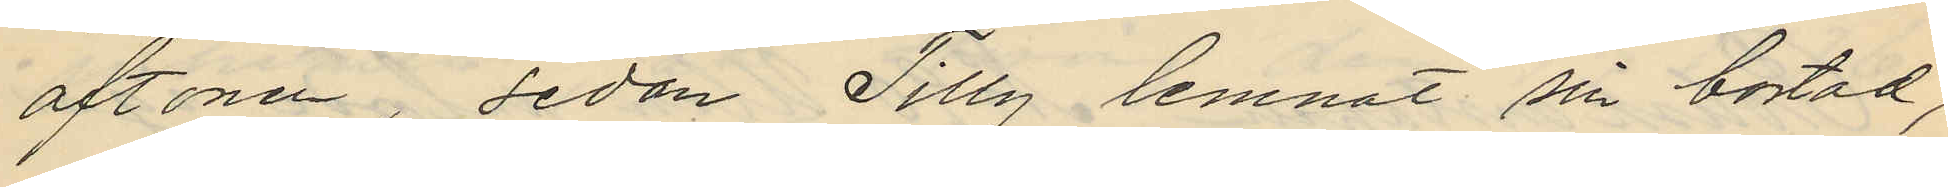aftonen, sedan Tilly lemnat sin bostad,
